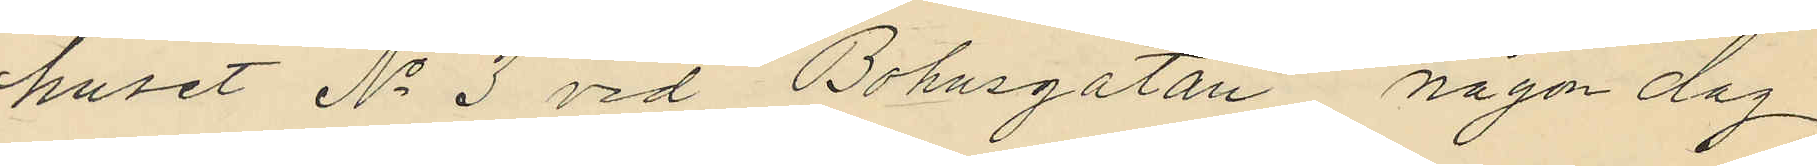huset No 3 vid Bohusgatan någon dag
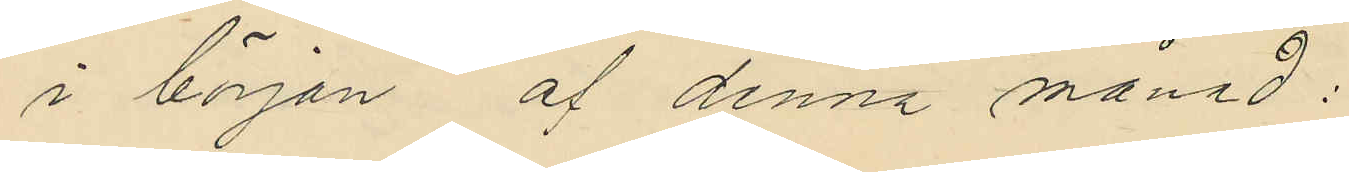i början af denna månad:
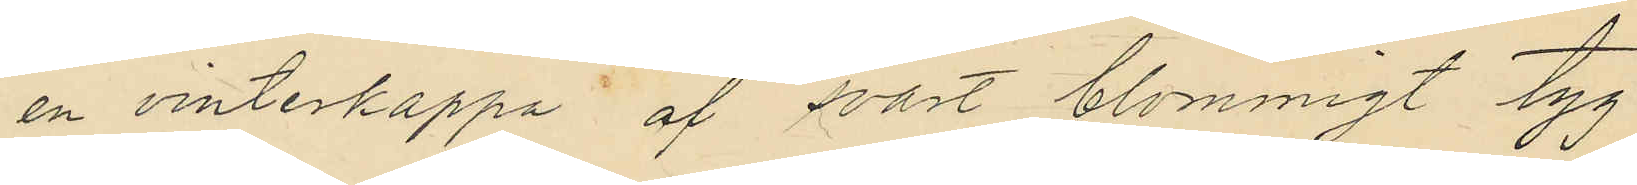en vinterkappa af svart blommigt tyg
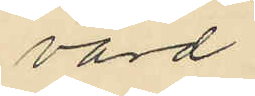värd
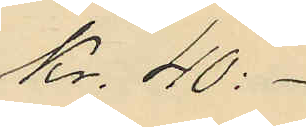Kr. 40:-
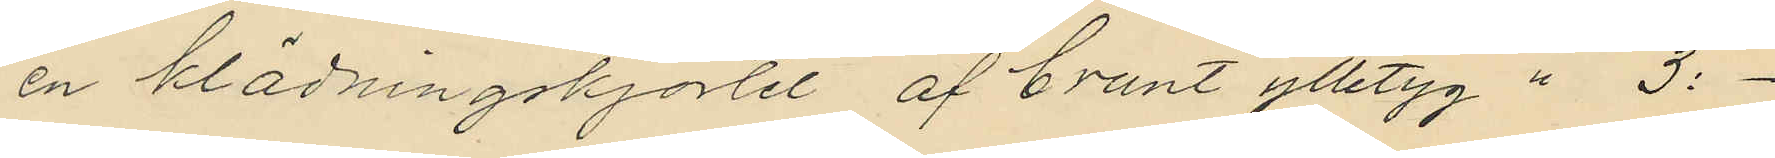en klädningskjortel, af brunt ylletyg " 3:-
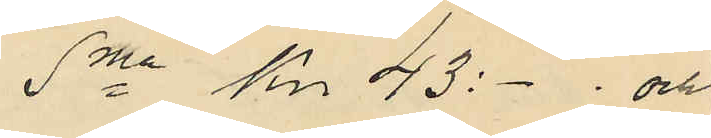Sma Kr. 43-: och
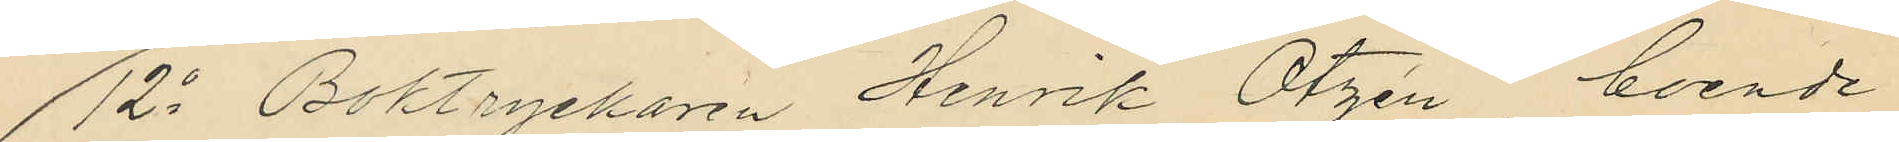12o Boktryckaren Henrik Otzén, boende
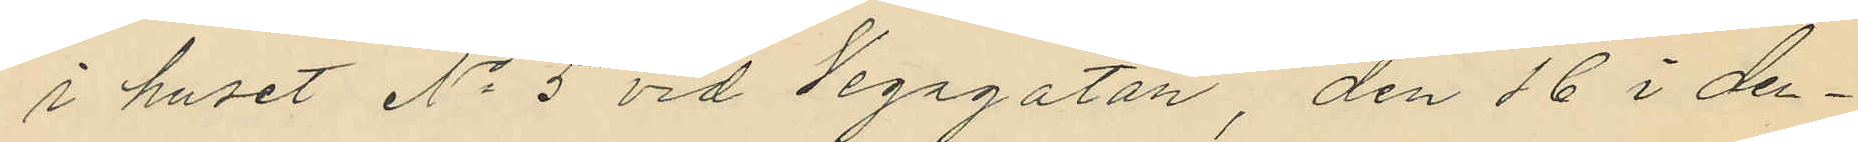i huset No 5 vid Vegagatan, den 16 i den¬
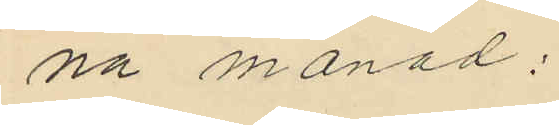na månad:
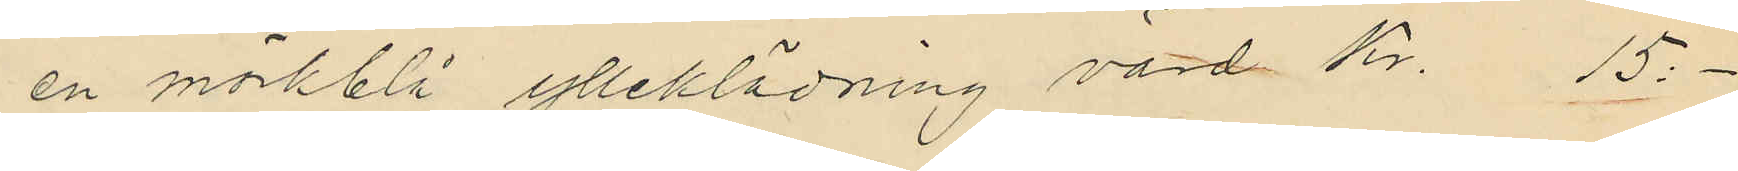en mörkblå ylleklädning värde Kr. 15:-
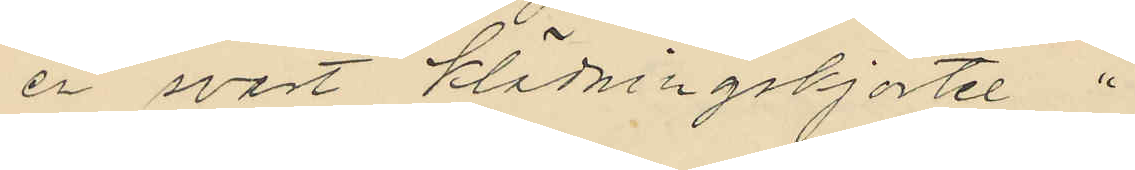en svart klädningskjortel "
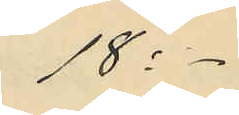18:-
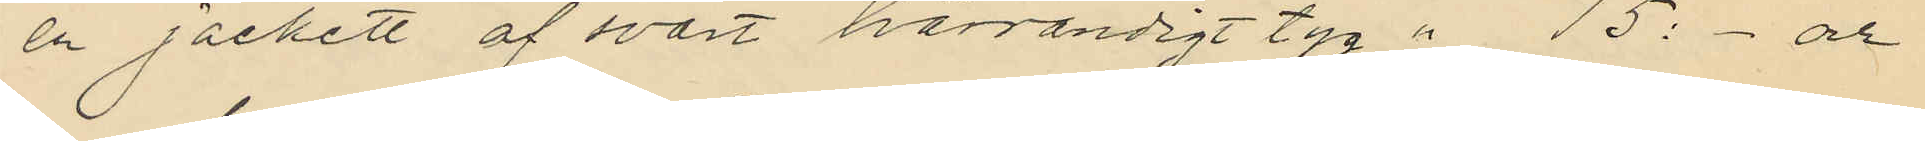en jackett af svart tvärrandigt tyg " 15:- och
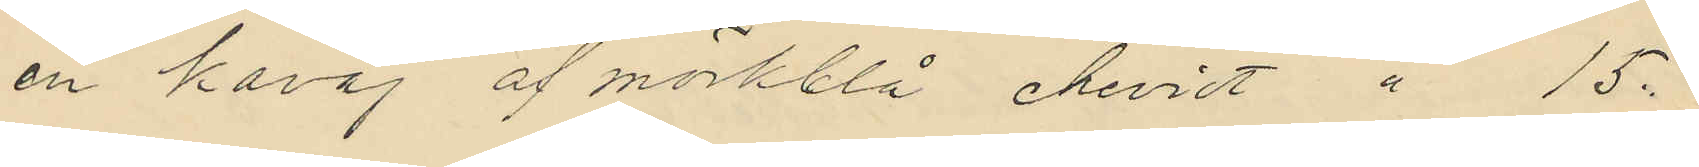en kavaj af mörkblå cheviot " 15:
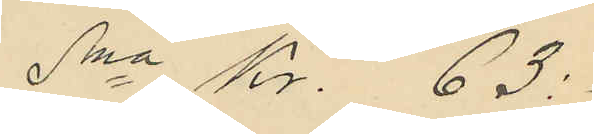Sma Kr. 63:
